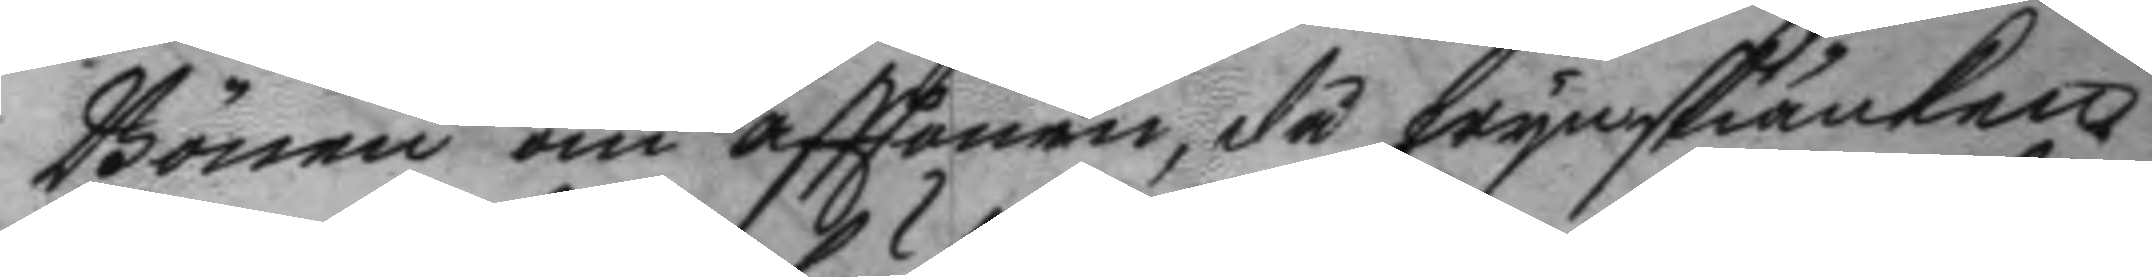Bönen om afttonen, då wynskiänken
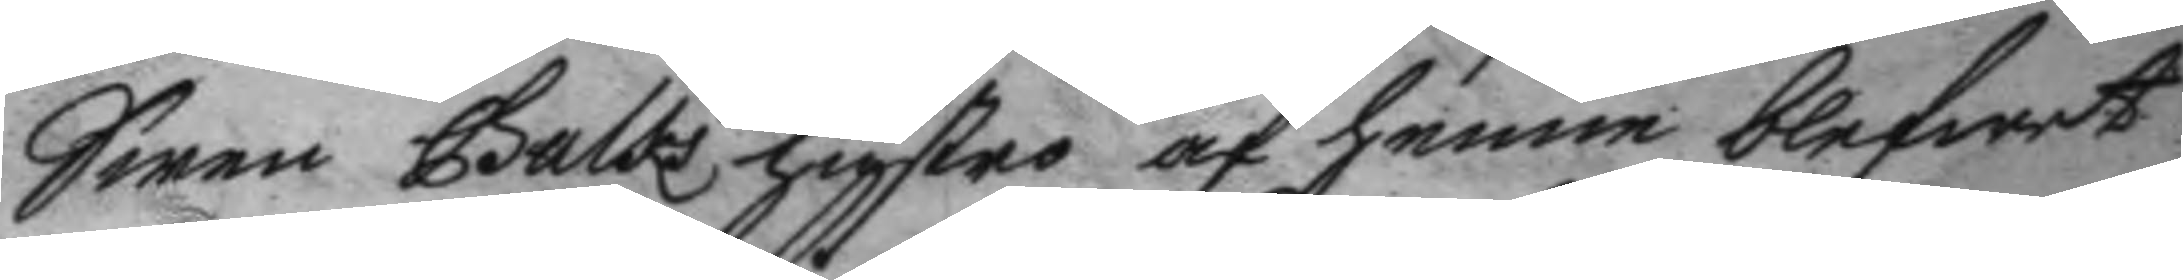Swen Galks hustro af henne blefwet
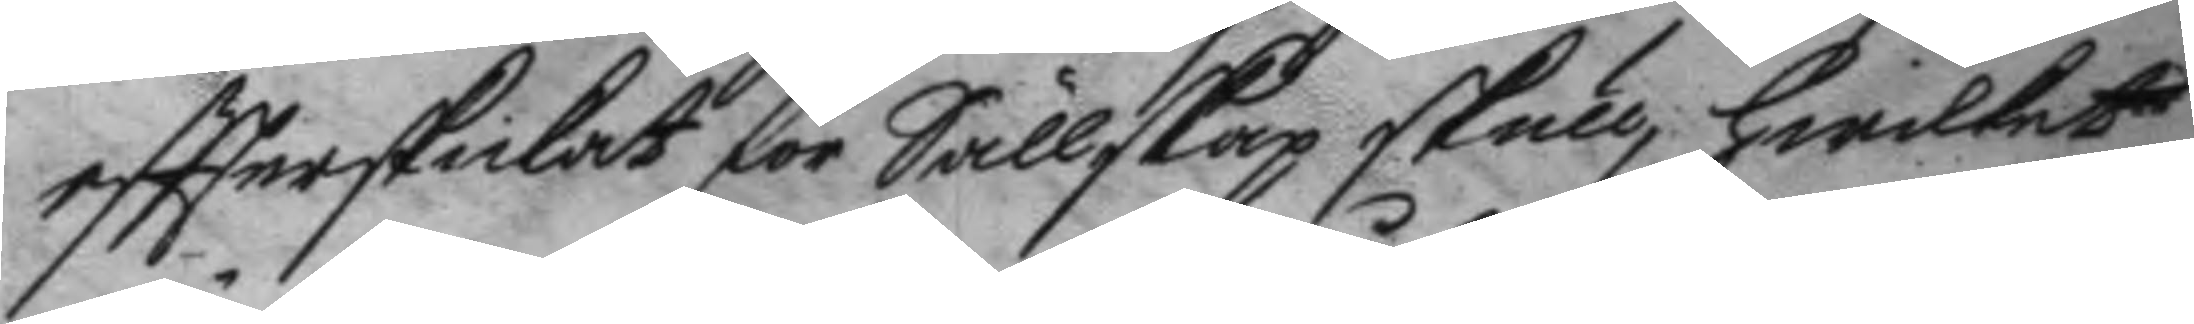eftterskickat för Sällskap skull, hwilket
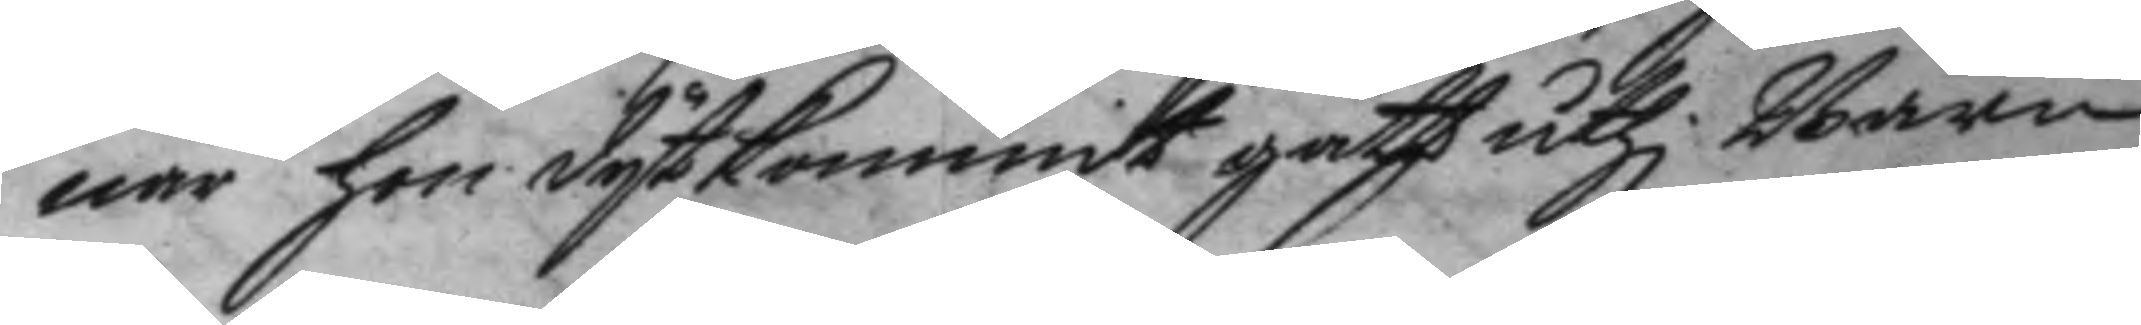när hon dytkommit gått uthi Barn¬
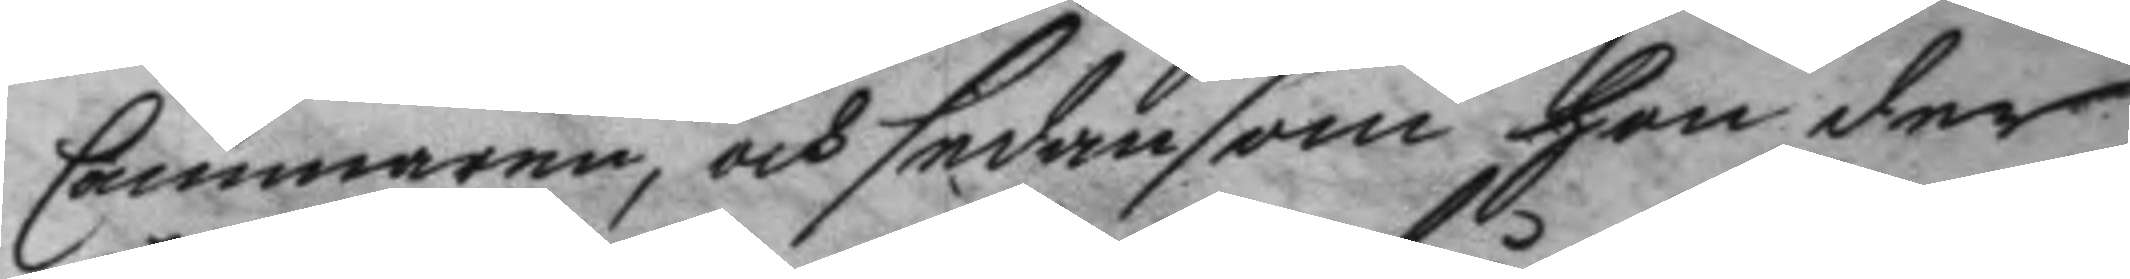Cammaren, och sedan som hon där
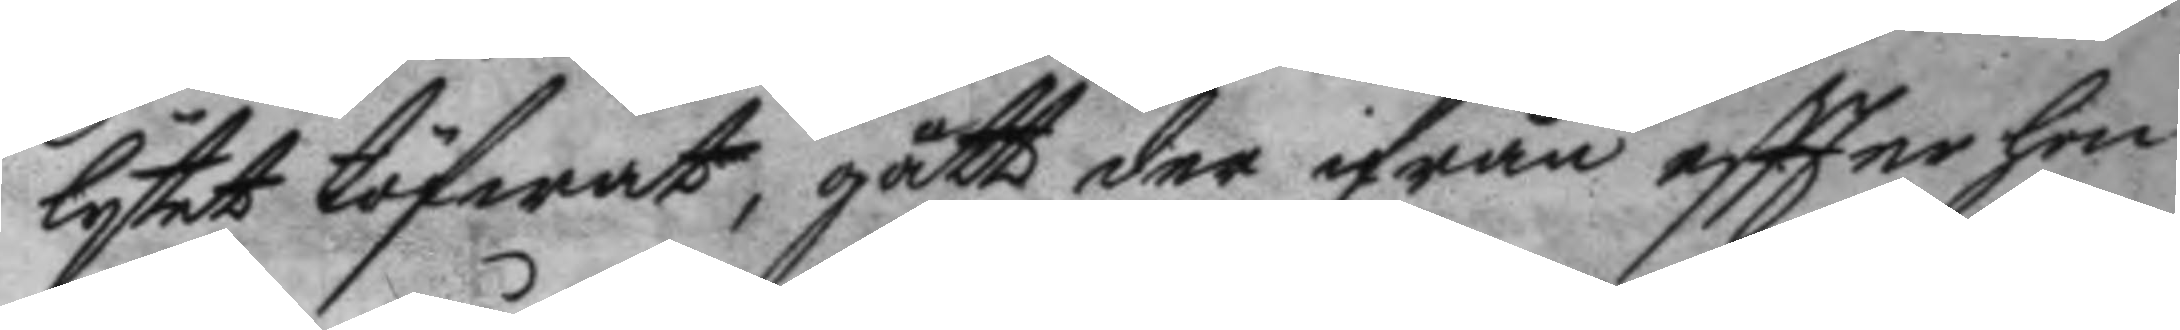lytet töfwat, gått der ifrån eftter hon
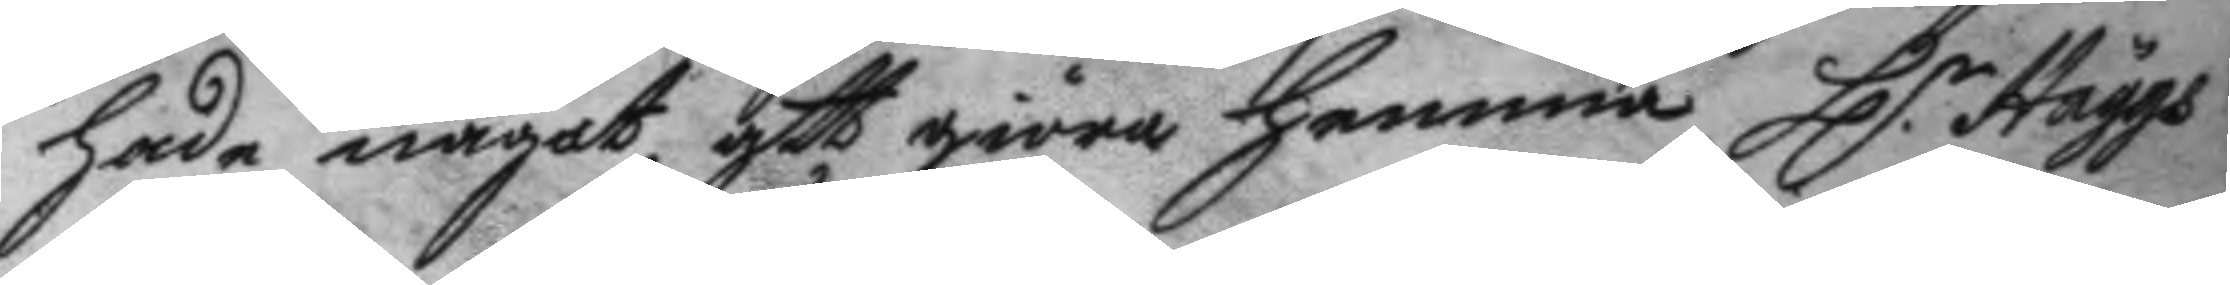hade något att giöra hemma H.r  Häägs
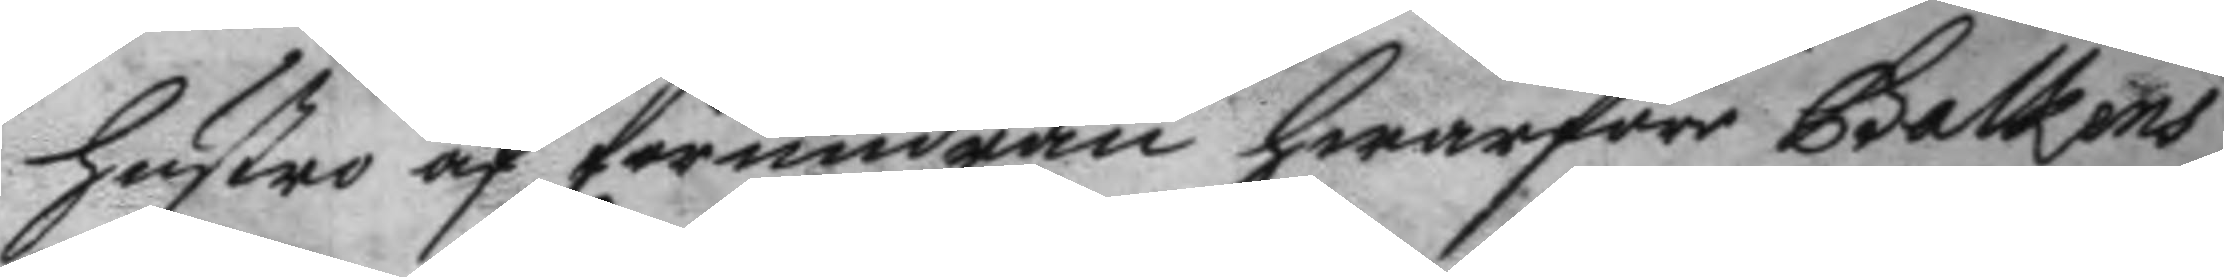hustro af förundran hwarföre Galkens
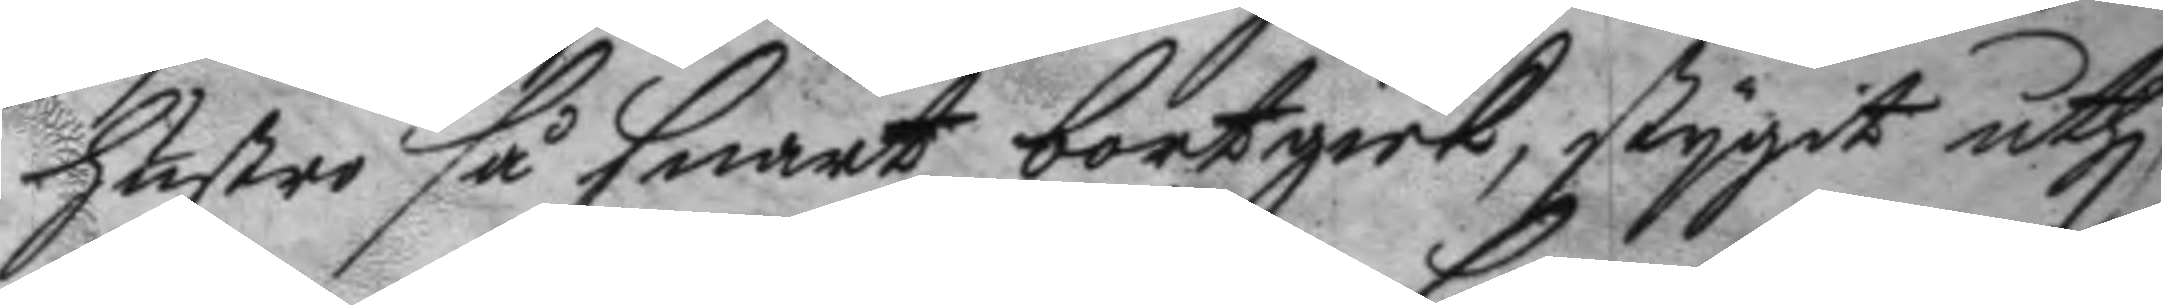hustru så snart bortgick, stygit uthi
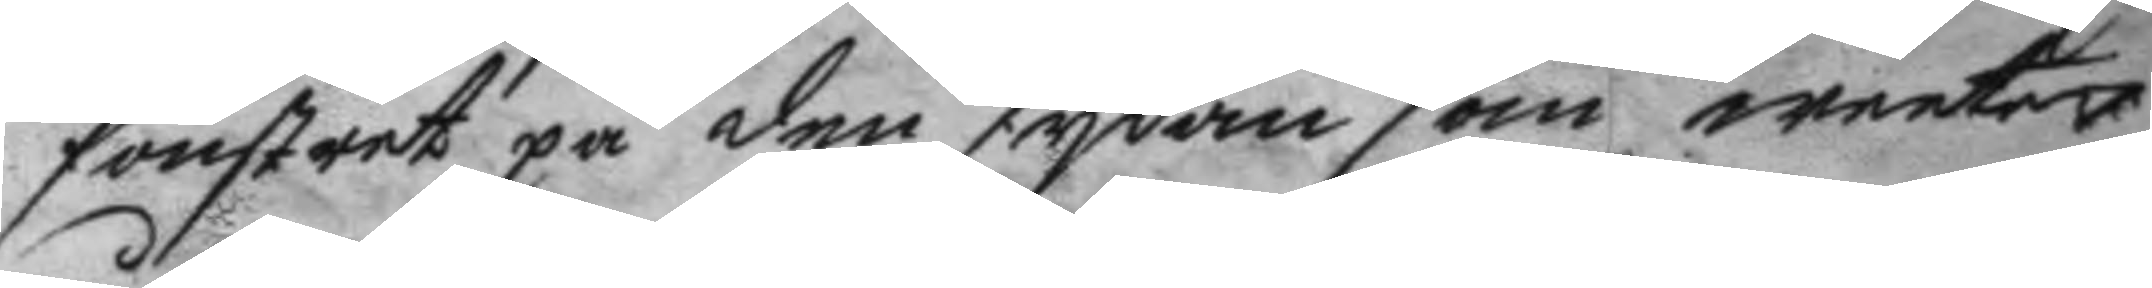fönstret på den sydan som weeter
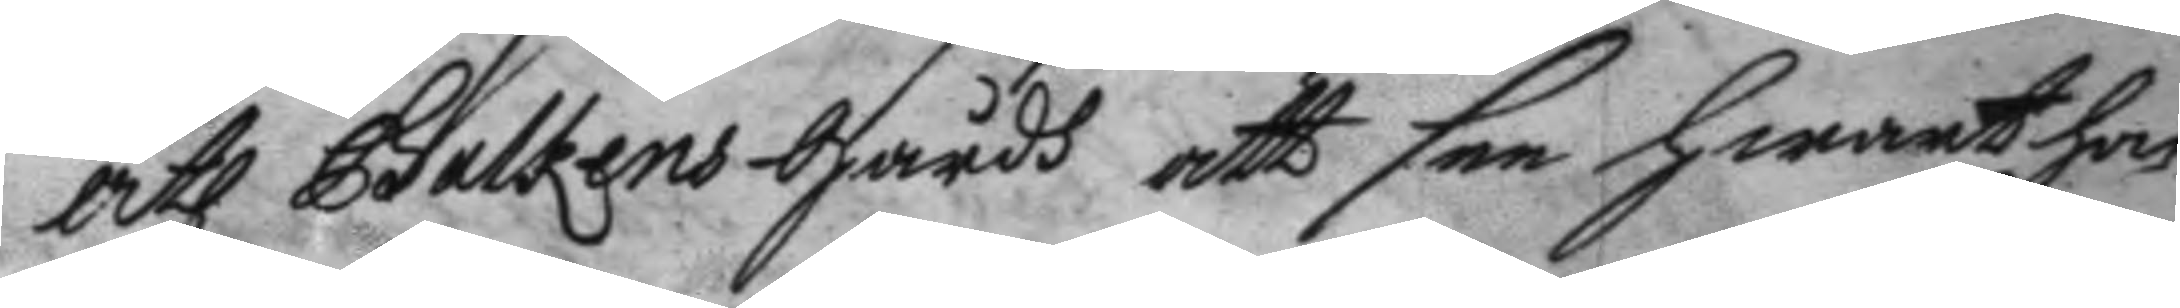åh Galkens gårdh att see hwart hon
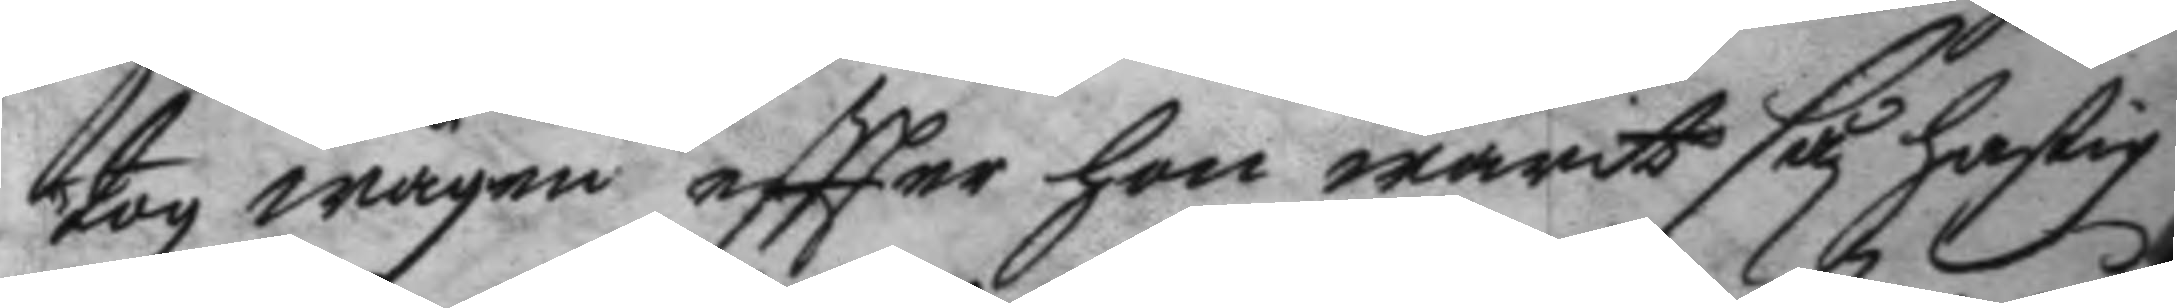tog wägen eftter hon warit såg hastig
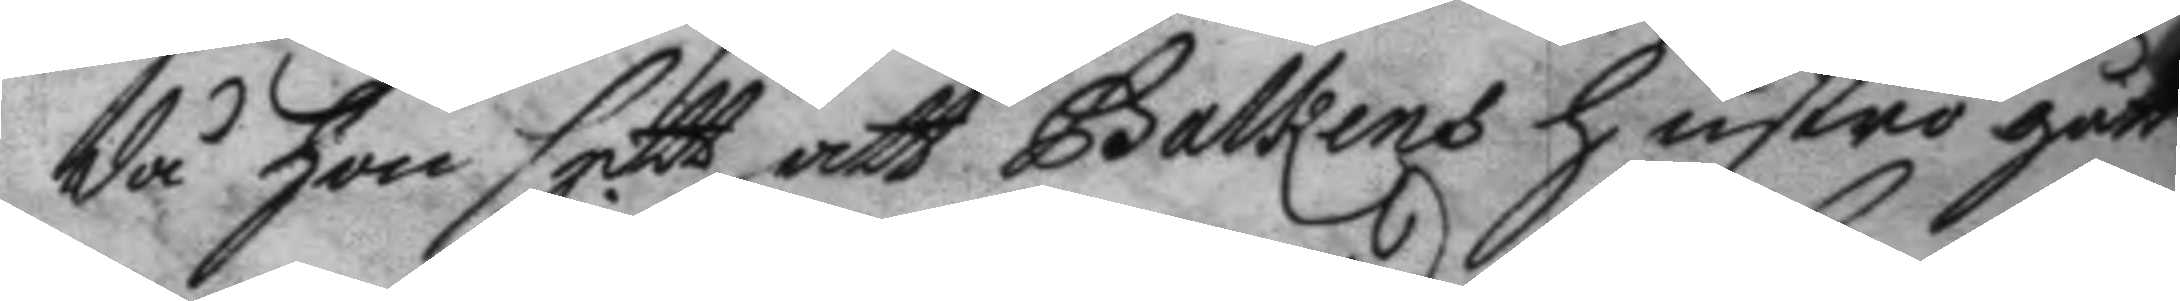då hon sett att Galkens hustro gått
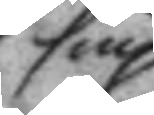sin
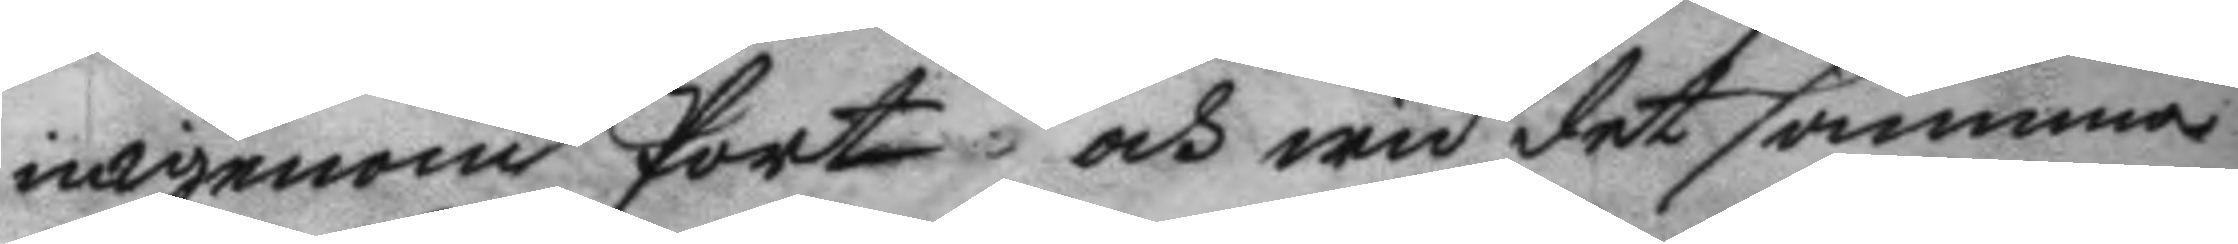in igenom Port och wid det samma
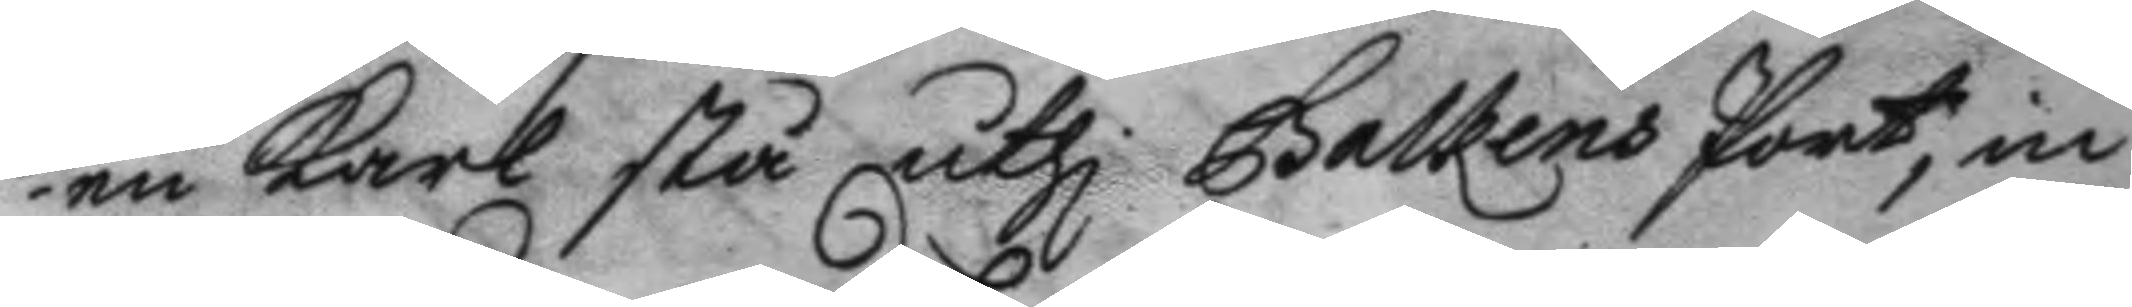en karl stå uthi Galens Port, in¬
